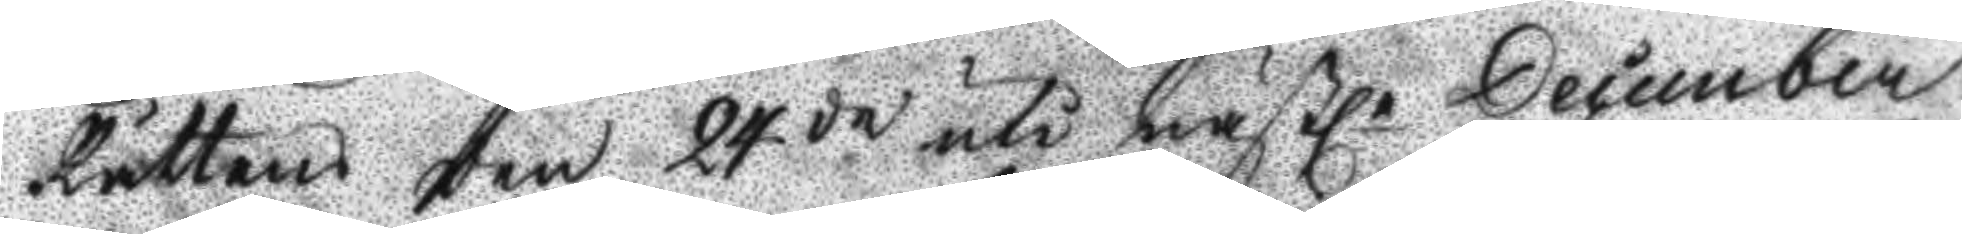Rättens ten 24 de uti nästle December
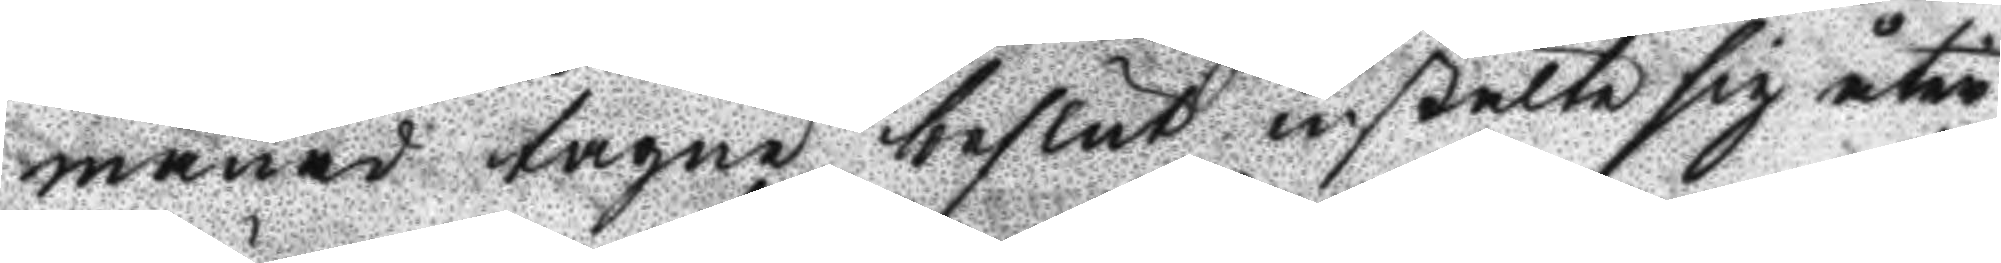månad tagne beslut instelte sig åter
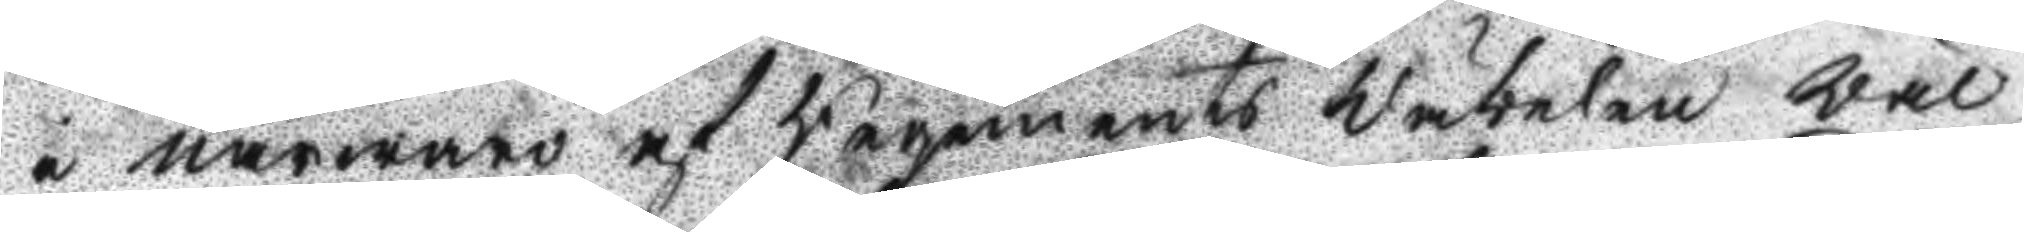i närwaro af Regements Wäbelen wäl
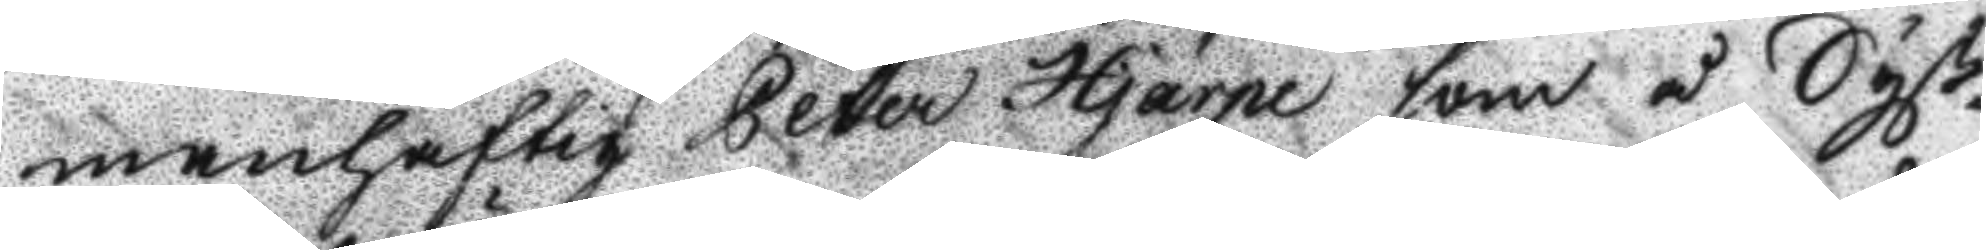manhaftig Peter Hjärpe som å Syß¬
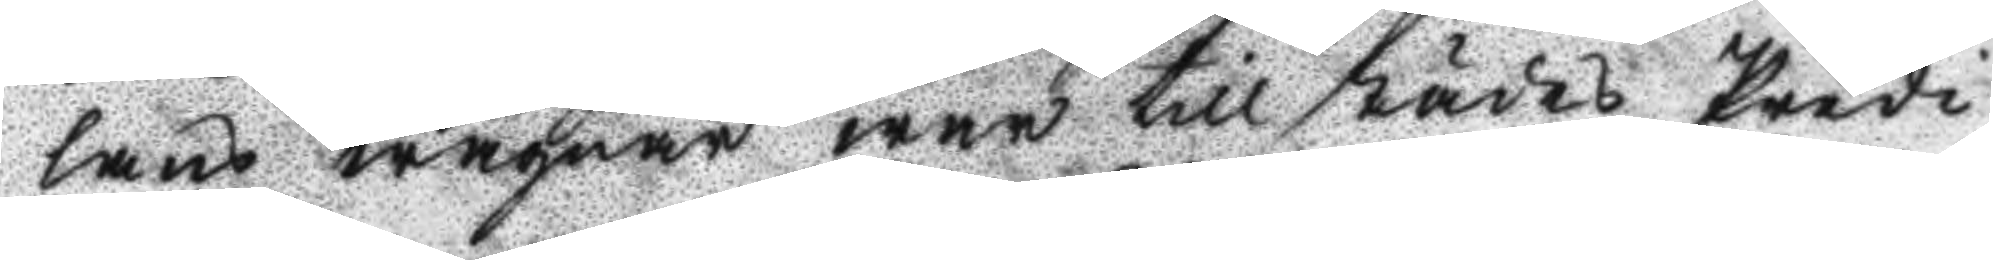lans wägnar war till städes Predi¬
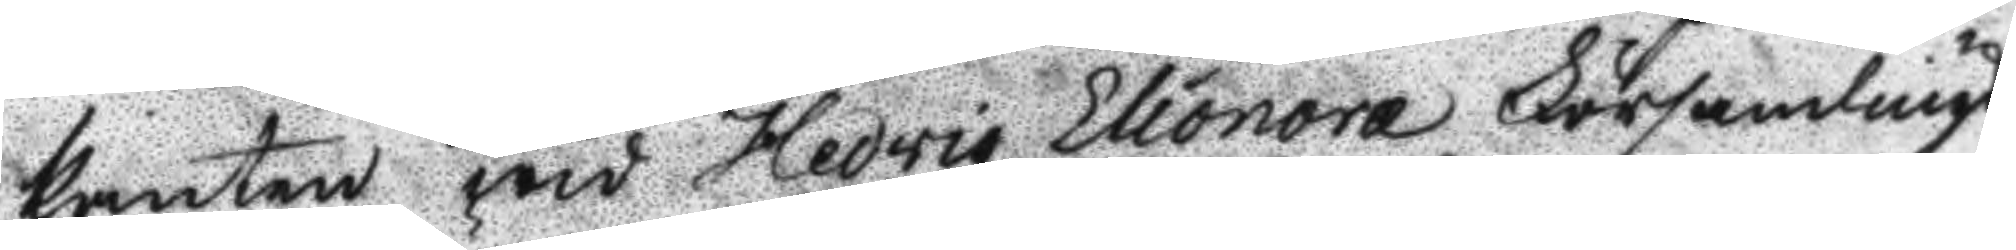kanten wid Hedvig Eleonora Församlings
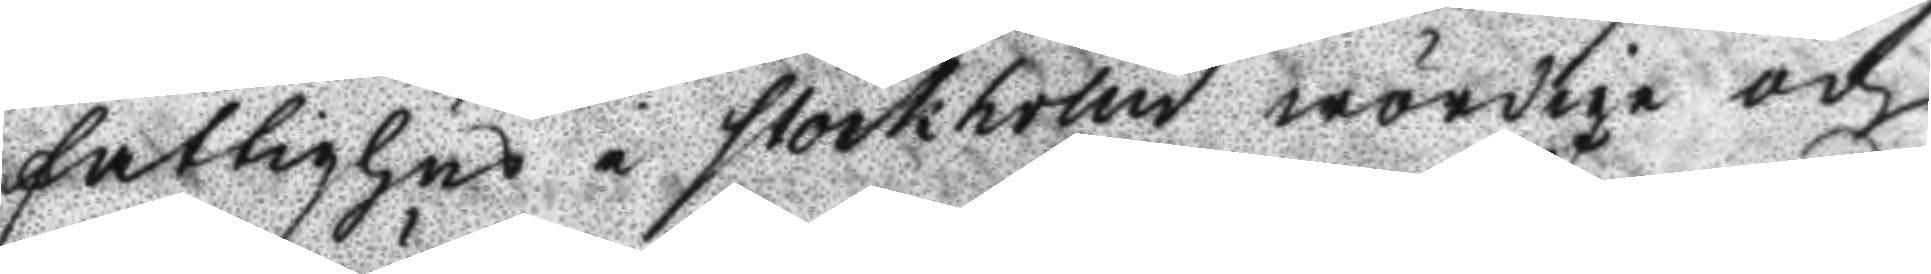fattighus i Stockholm wördige och
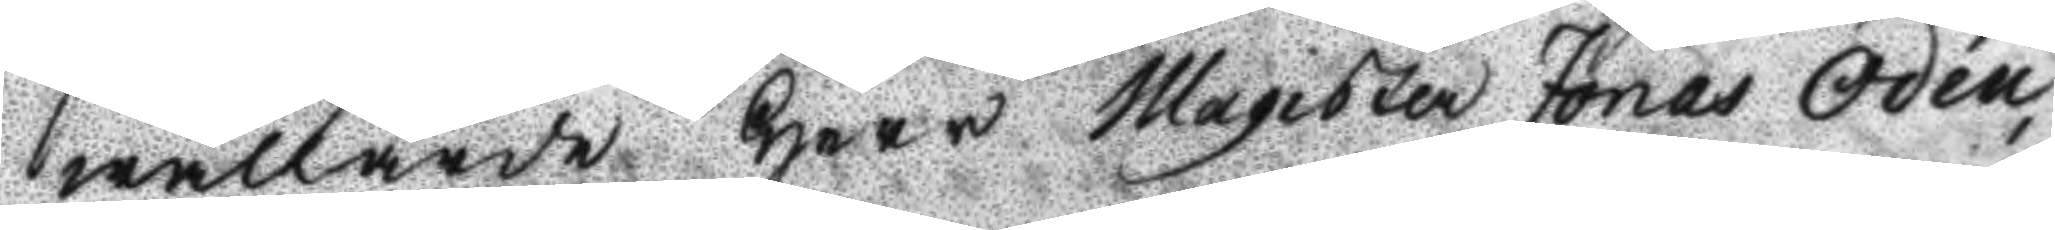wällärde Herr Magister Jonas Odén
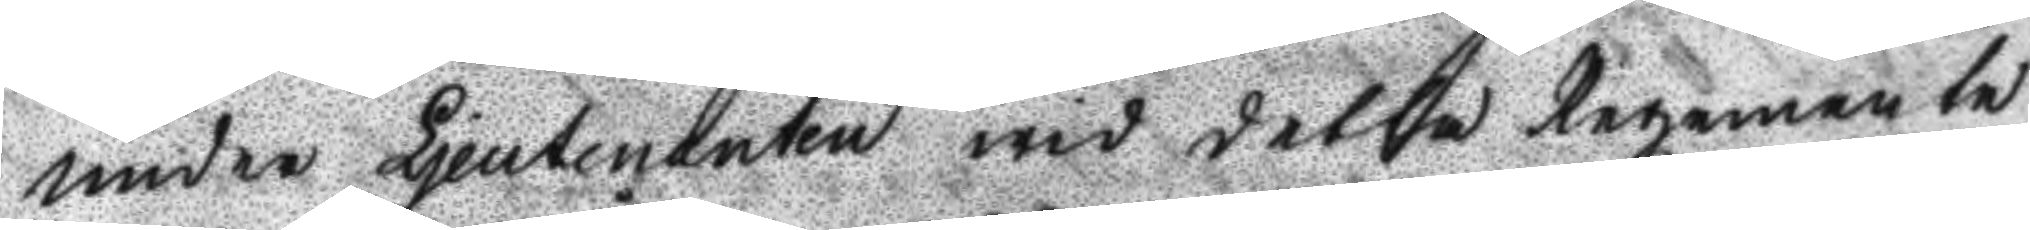under Lieutnanten wid detta Regemente
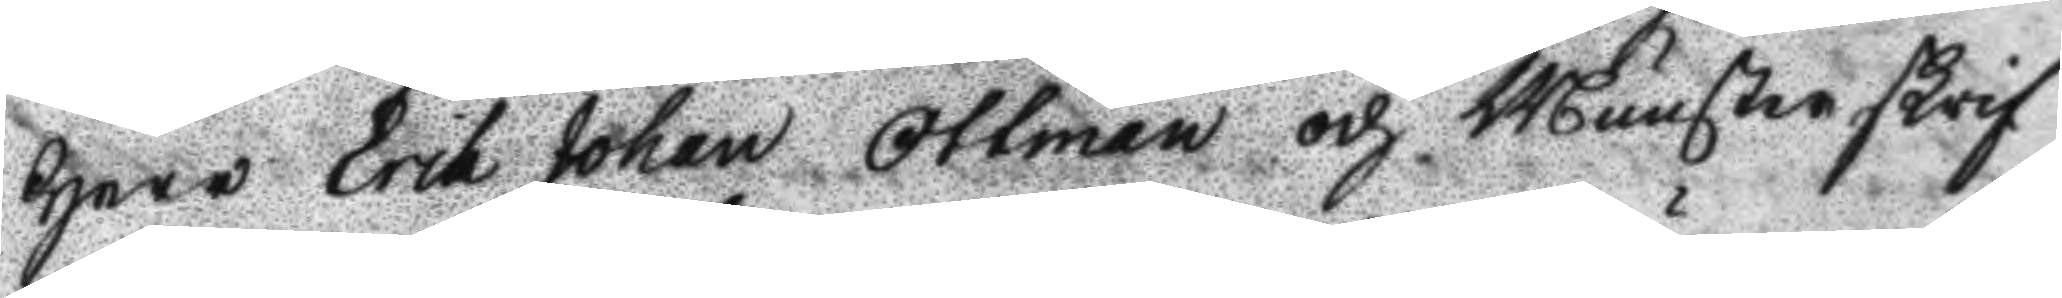Herr Erik Johan Ottman och Munsterskrif¬
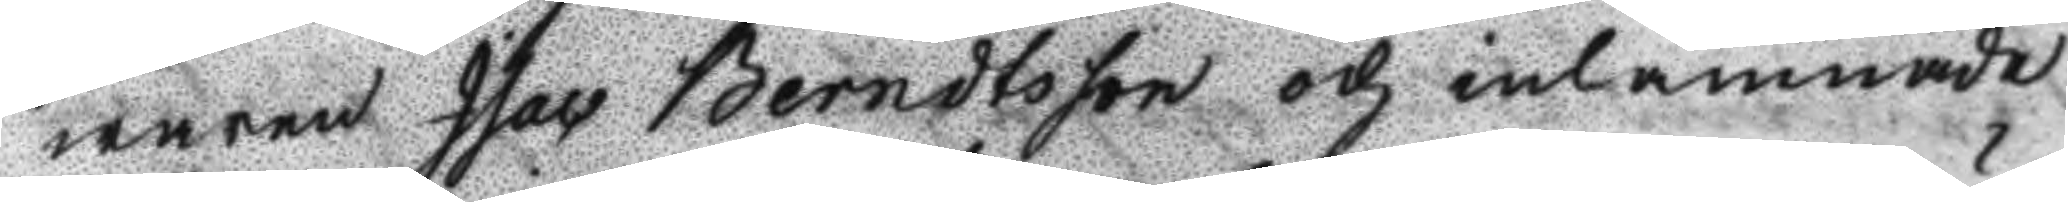waren Isac Berndtson och inlämnade
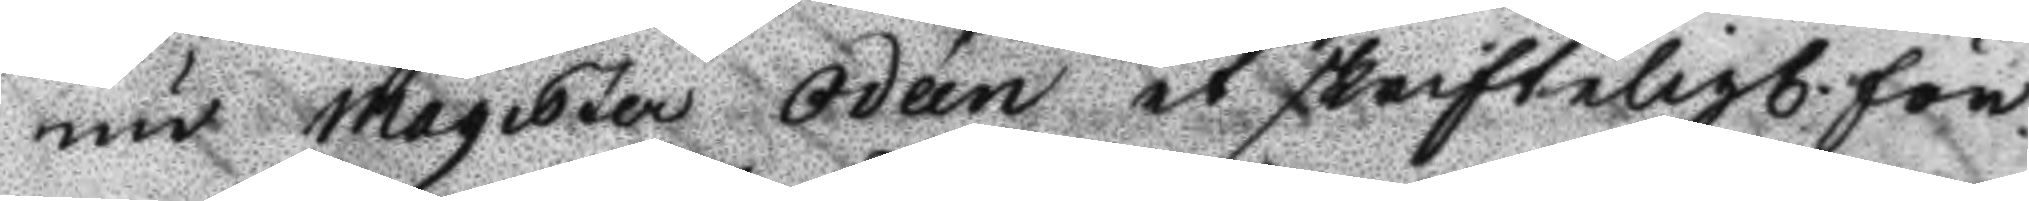nu Magister Odéen et skrifteligt för¬
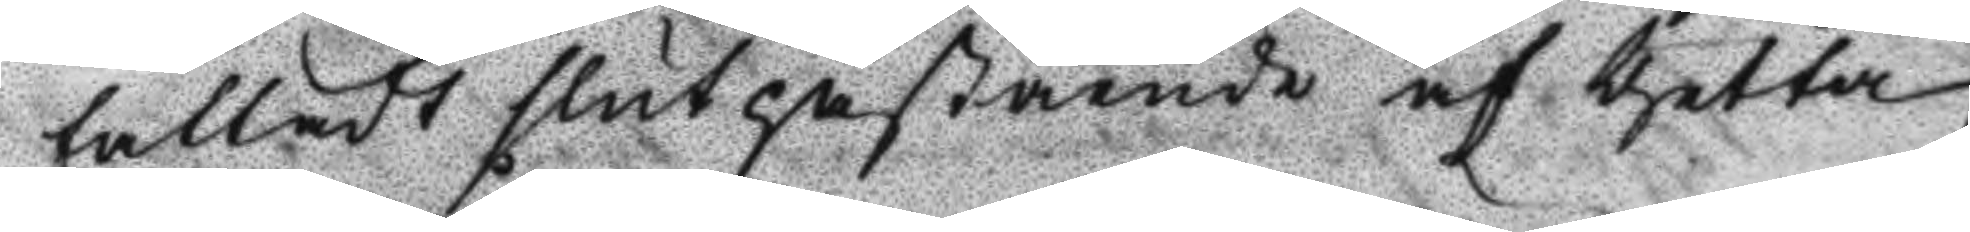falladt slut påstående af thetta
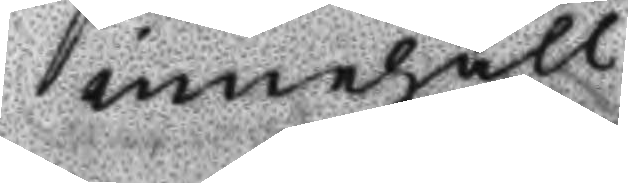innehåll:
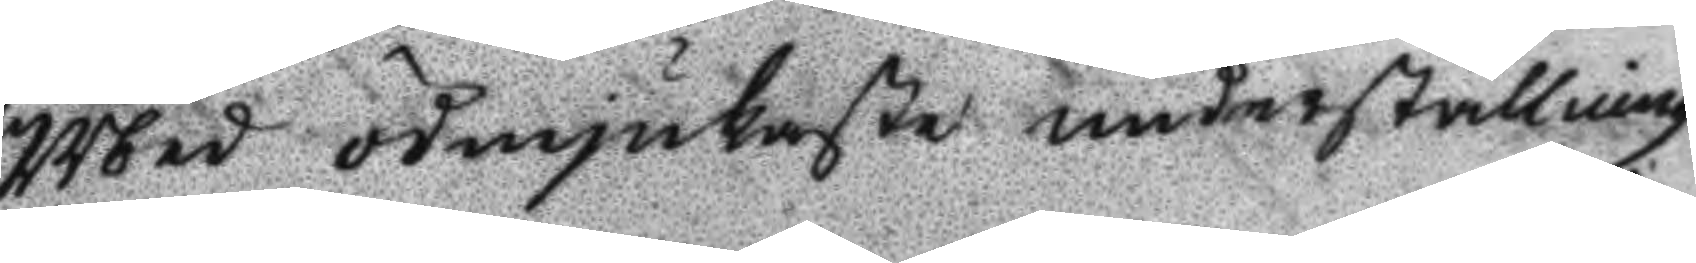Med ödmjukaste underställning
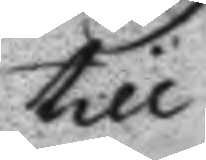till
